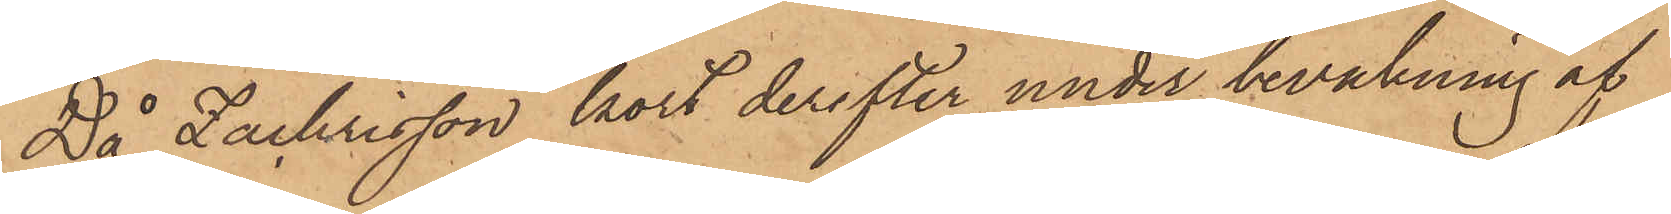Då Zachrisson kort derefter under bevakning af
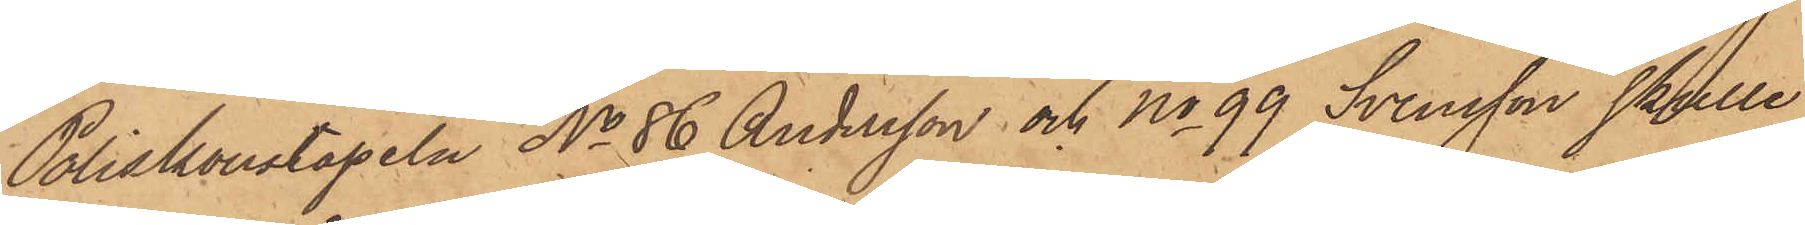Poliskonstapeln No 86 Andersson och No 99 Svensson skulle
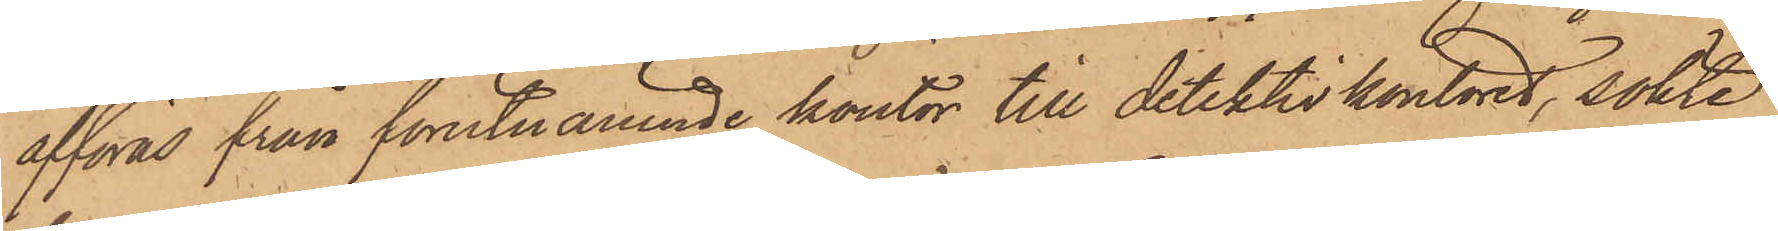afföras från förutnämnde kontor till detektivkontoret, sökte
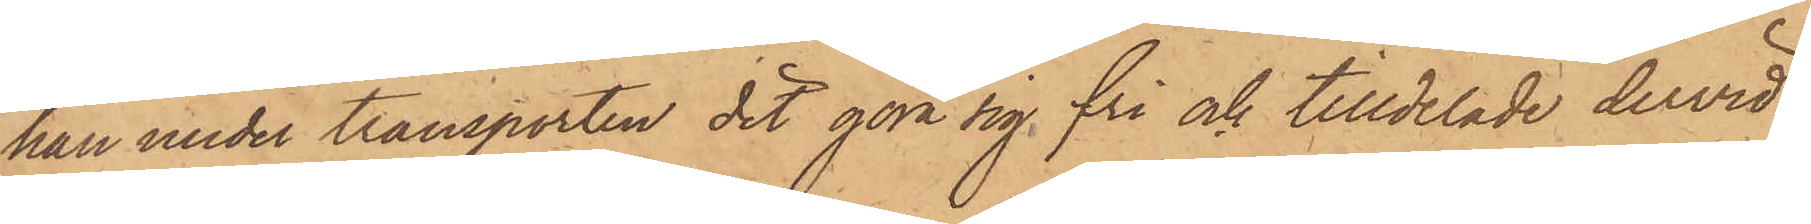han under transporten det göra sig fri och tilldelade dervid
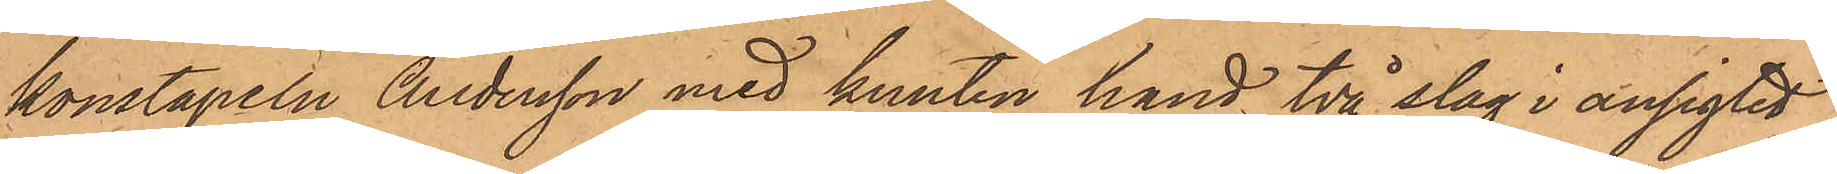konstapeln Andersson med knuten hand två slag i ansigtet
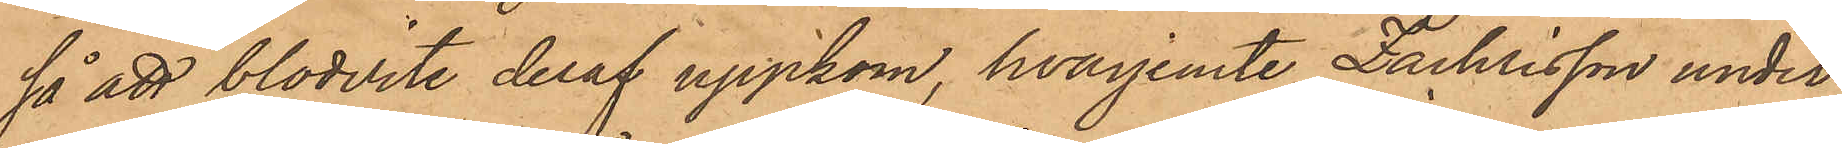så att blodvite deraf uppkom, hvarjemte Zachrisson under
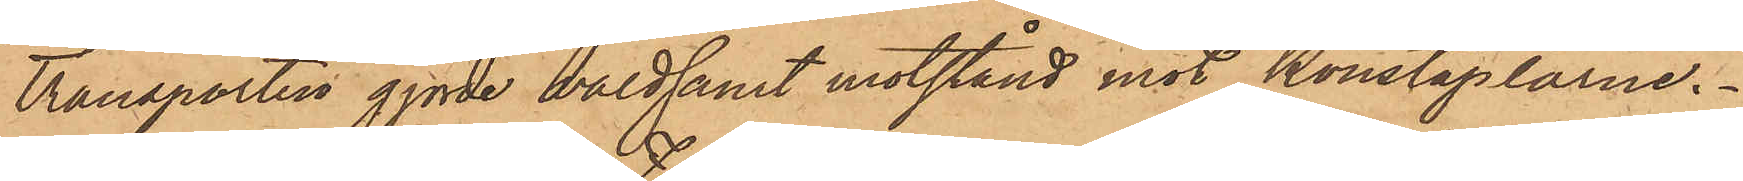transporten gjorde våldsamt motstånd mot Konstaplarne.
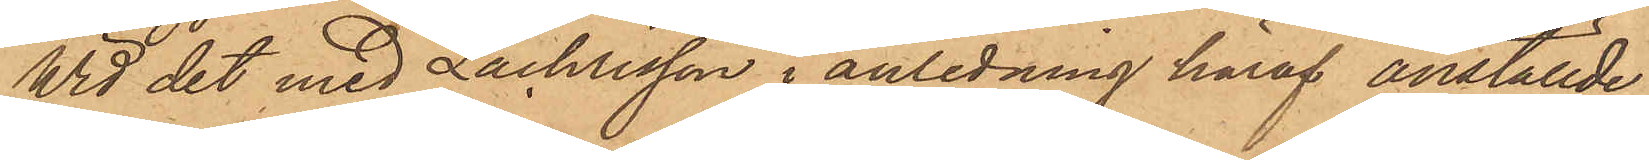Wid det med Zachrisson i anledning häraf anställde
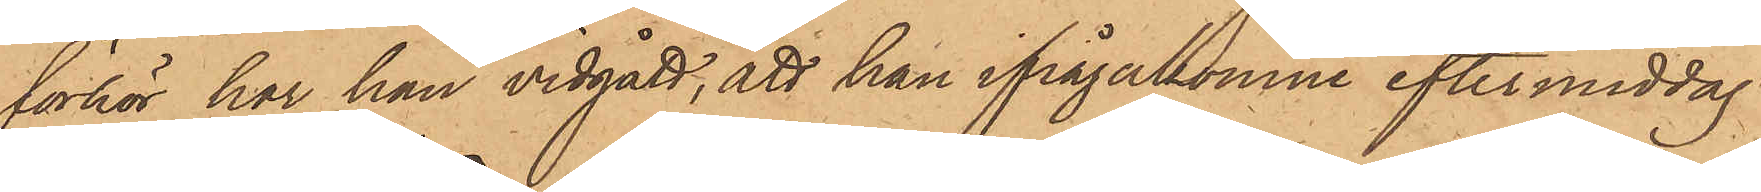förhör har han vidgått, att han ifrågakomne eftermiddag
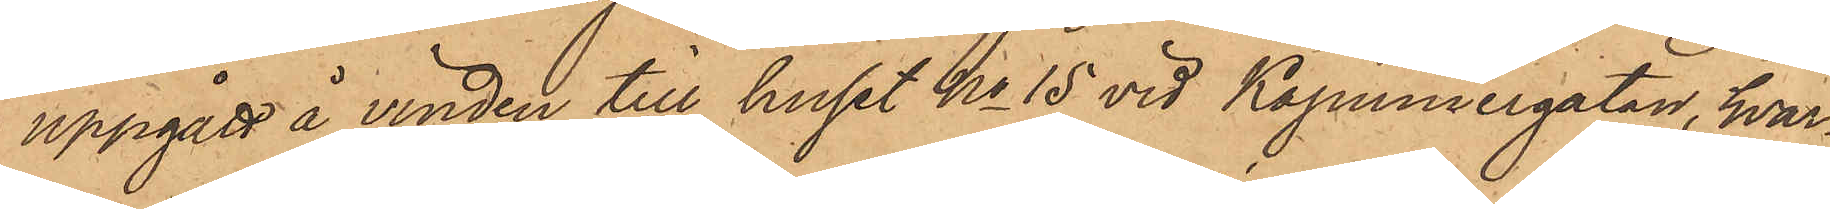uppgått å vinden till huset No 15 vid Kapuniergatan, hvar¬
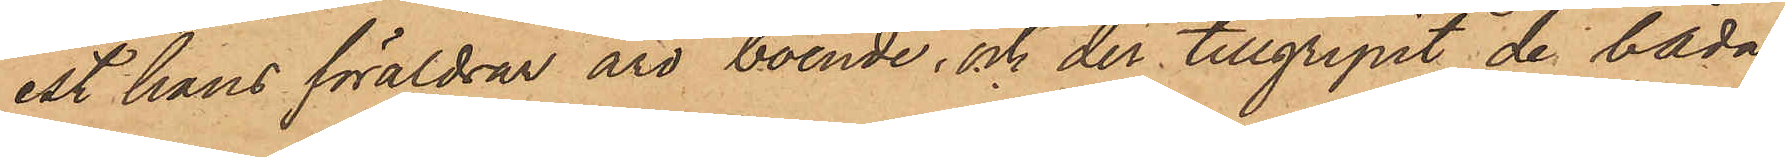est hans föräldrar äro boende, och der tillgripit de båda
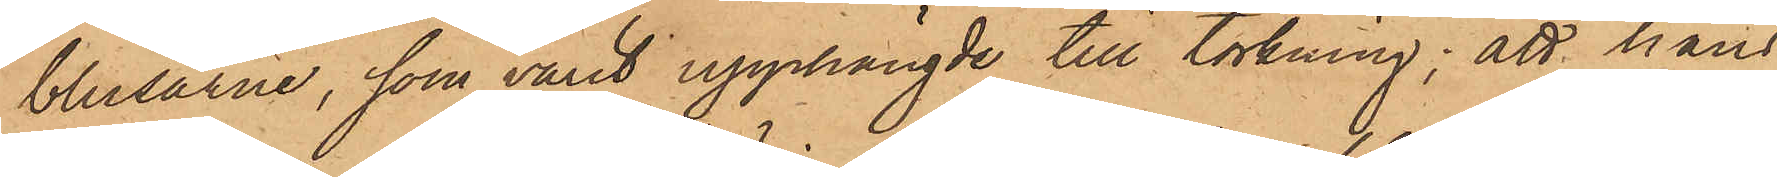blusarne, som varit upphängde till torkning; att hans
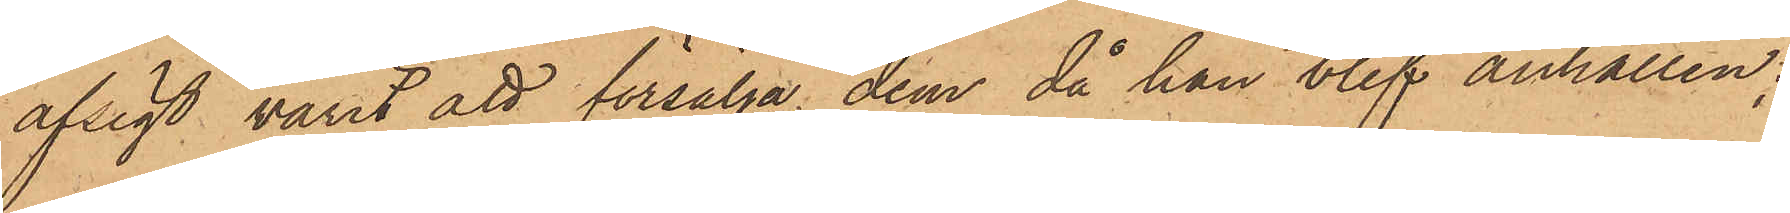afsigt varit att försälja dem då han blef anhållen;
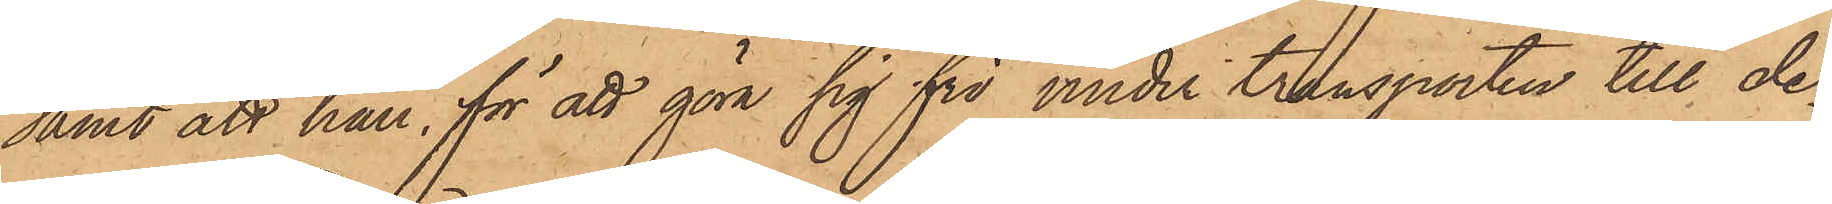samt att han, för att göra sig fri under transporten till de¬
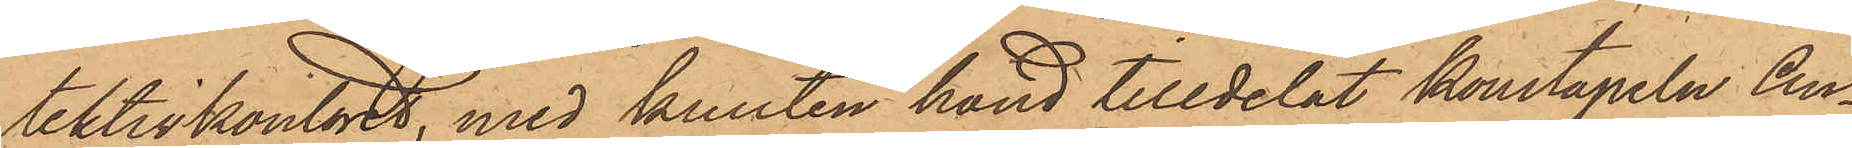tektivkontoret, med knuten hand tilldelat konstapeln An¬
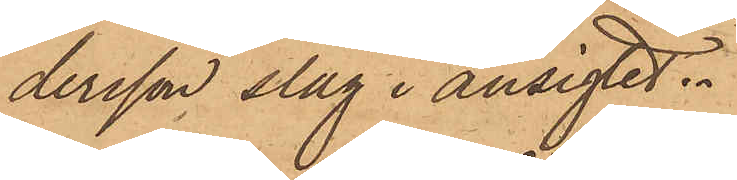dersson slag i ansigtet.
